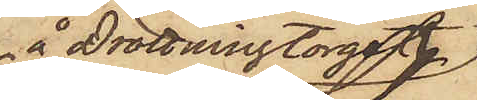å Drottningtorget
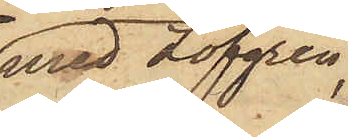med Löfgren,
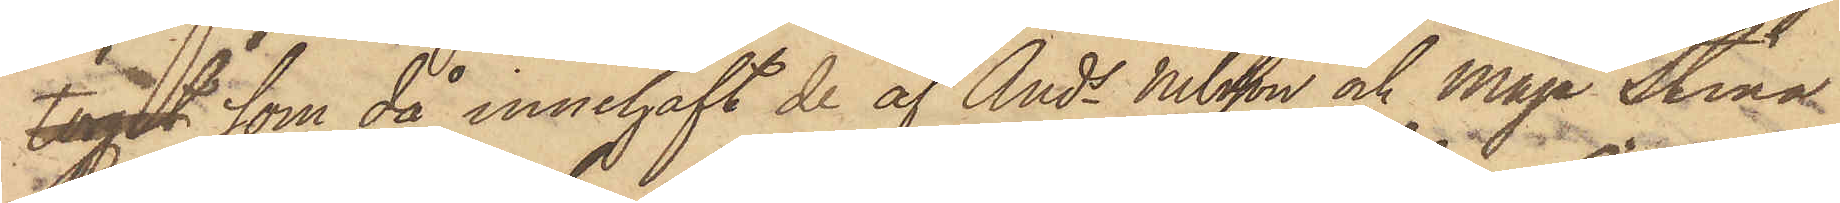torget  som då innehaft de af Ands Nilsson och Maja Stina
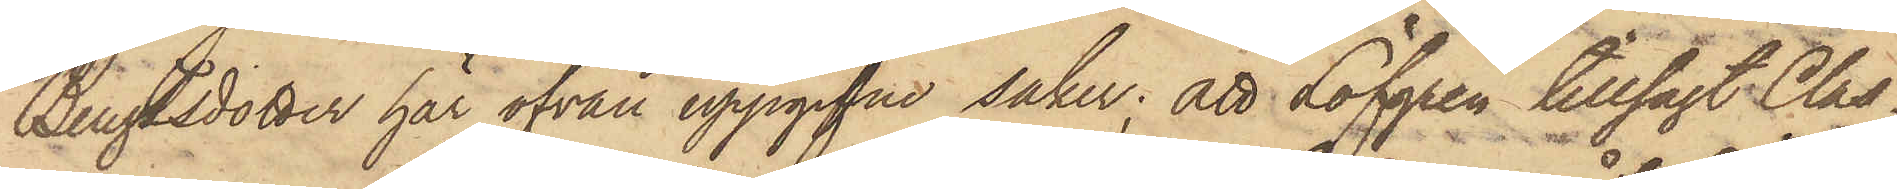Bengtsdotter här ofvan uppgifne saker; att Löfgren tillsagt Clas¬
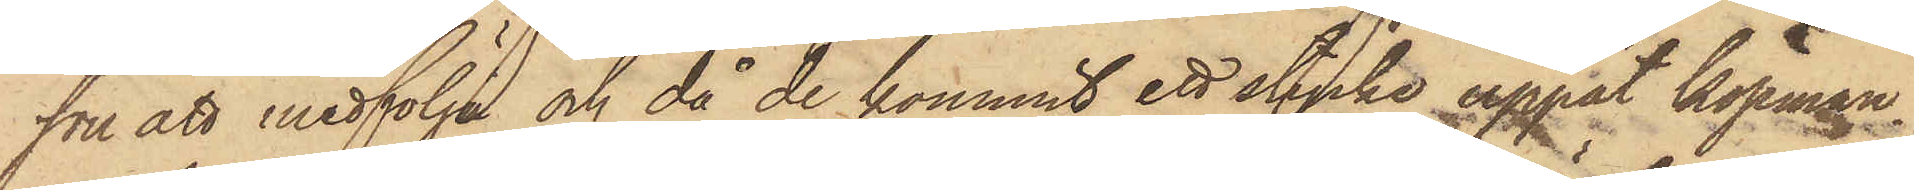son att medfölja och då de kommit ett stycke uppåt Köpman¬
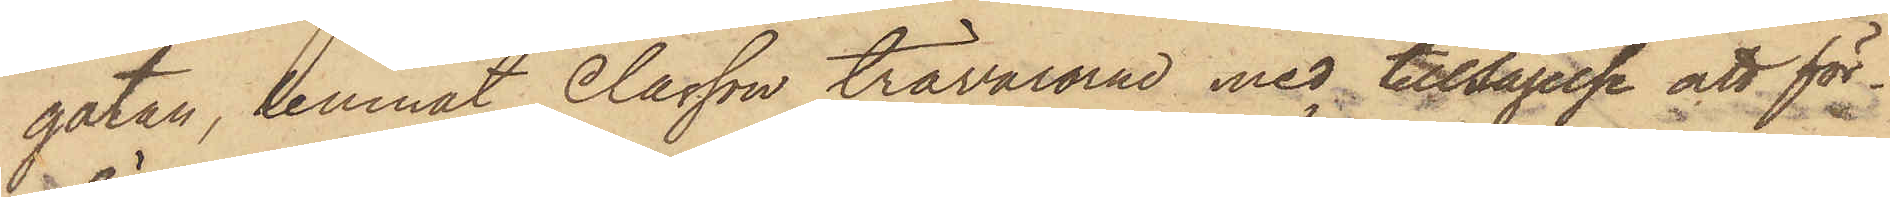gatan, lemnat Classon trävarorna med tillsägelse att för¬
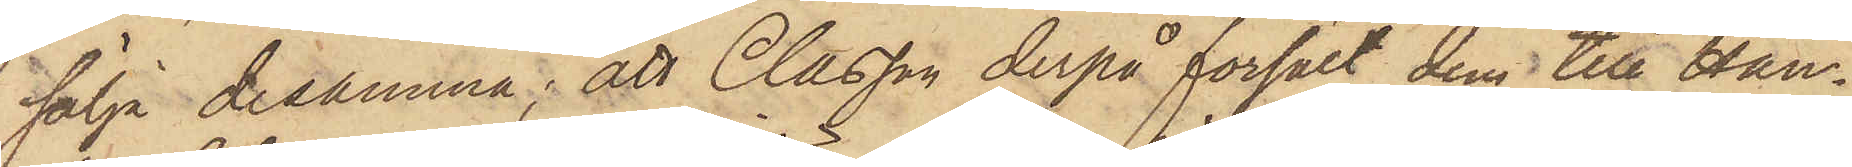sälja desamma; att Classon derpå försålt dem till Han¬
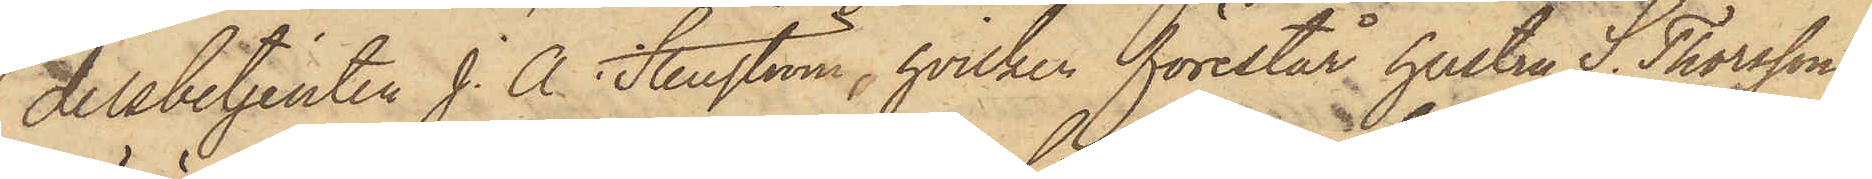delsbetjenten J. A. Stenström, hvilken förestår hustru S. Thorssons
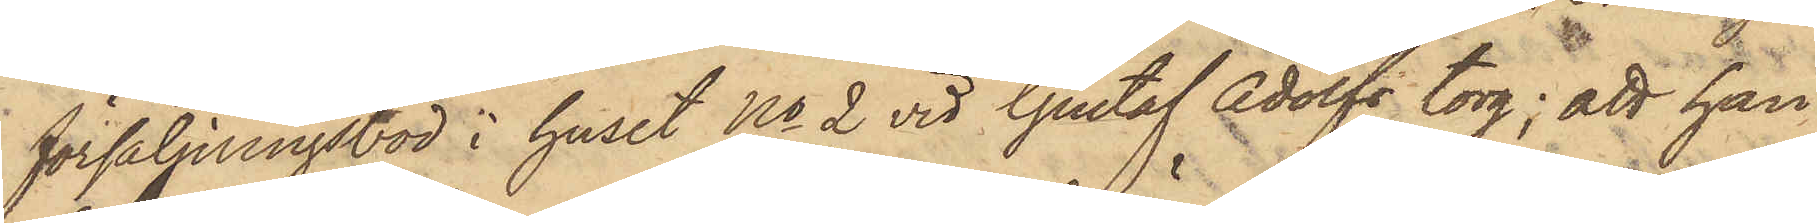försäljningsbod i huset No 2 vid Gustaf Adolfs torg; att han
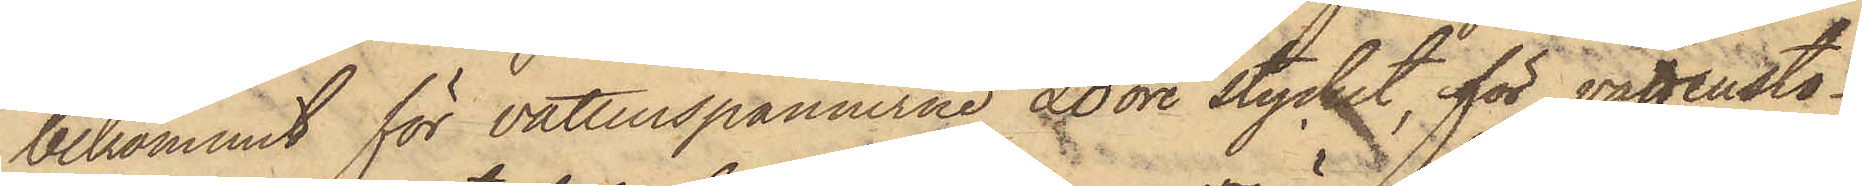bekommit för vattenspännerne 20 öre stycket, för vattensto¬
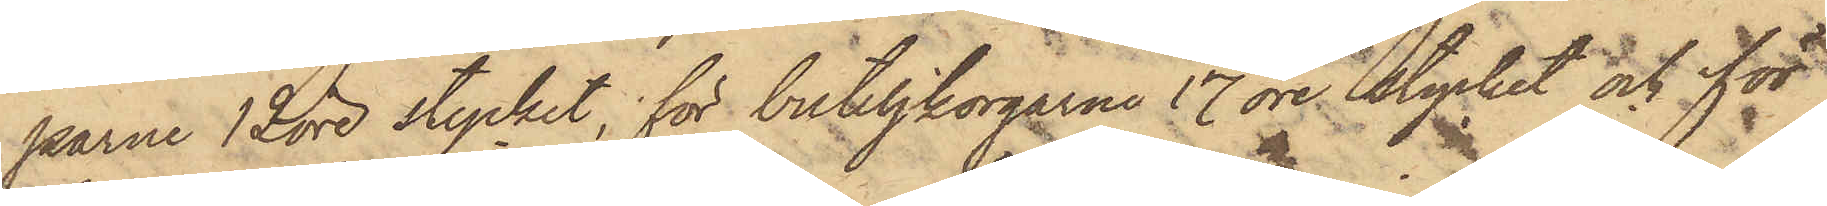parne 12 öre stycket, för buteljkorgarne 17 öre stycket och för
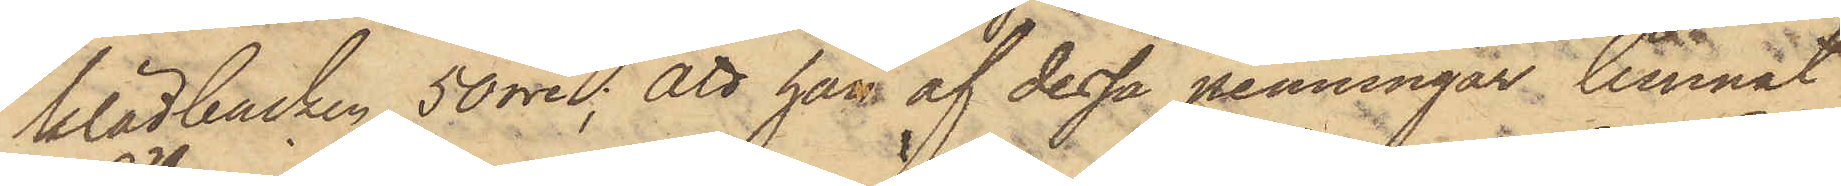klädbacken 50 öre; att han af dessa penningar lemnat
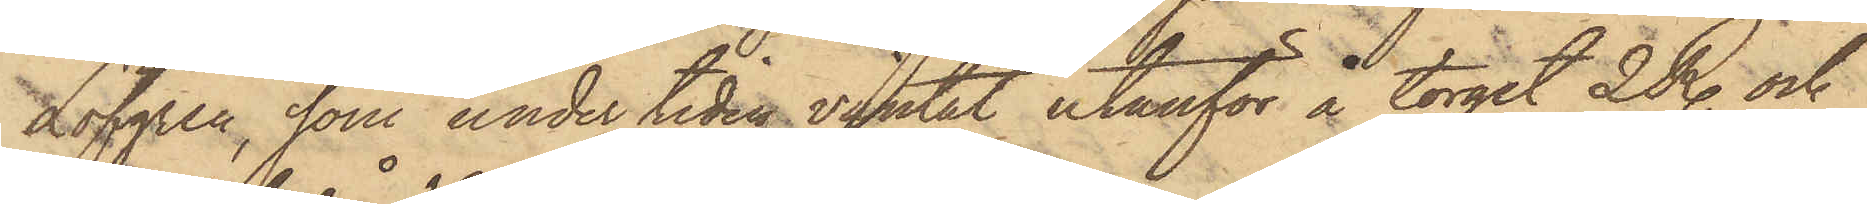Löfgren, som under tiden väntat utanför å torget 2 R. och
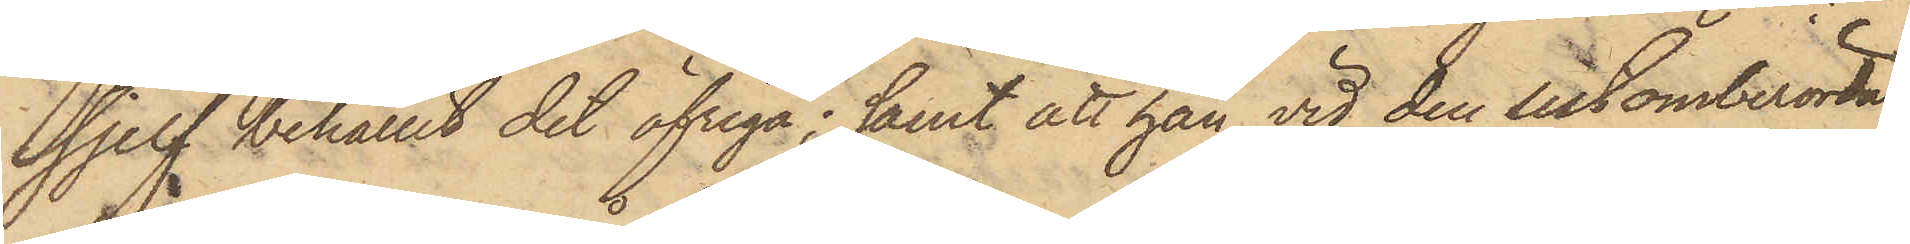sjelf behållit det öfriga; samt att han vid den sistomberörda
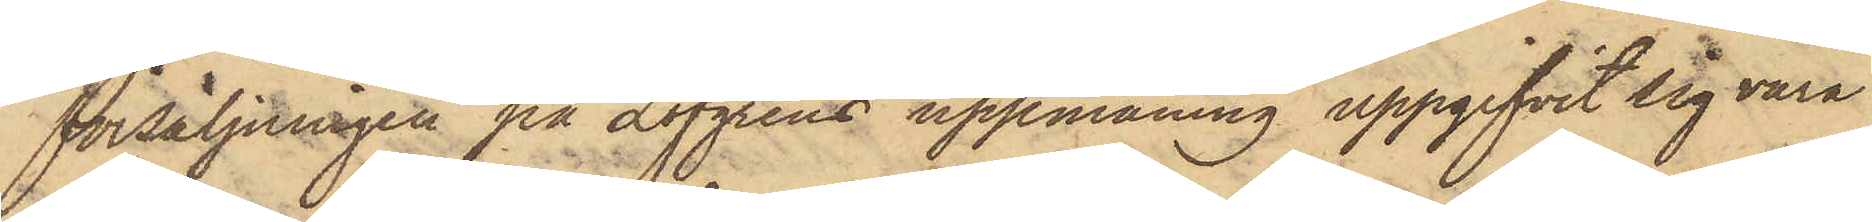försäljningen på Löfgrens uppmaning uppgifvit sig vara
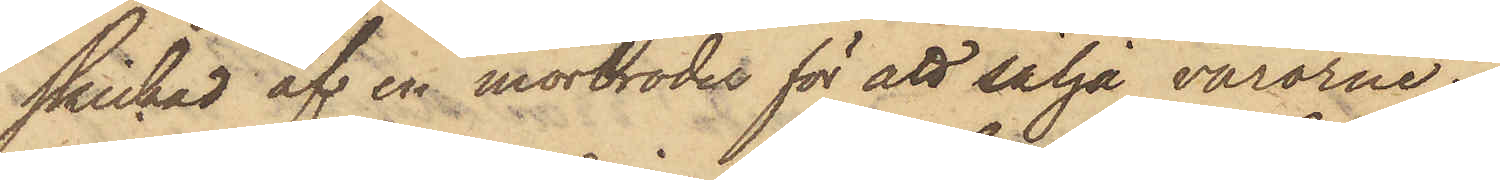skickad af en morbroder för att sälja varorne.
